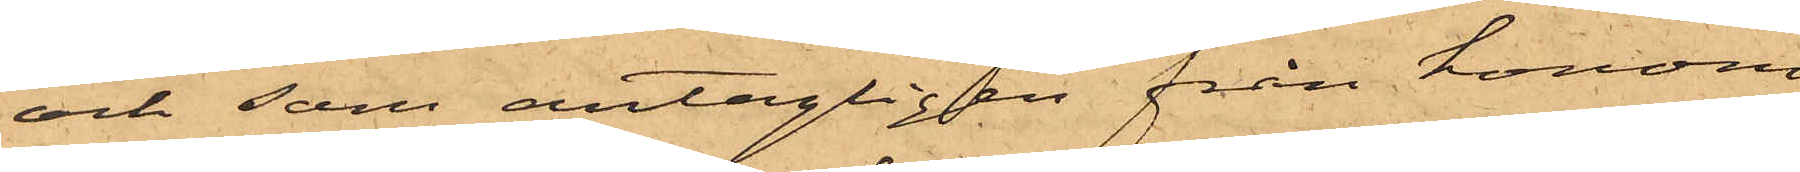och som antagligen från honom
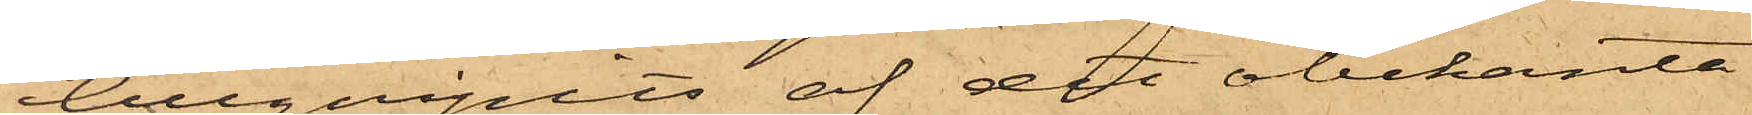tillgripits af det obekanta
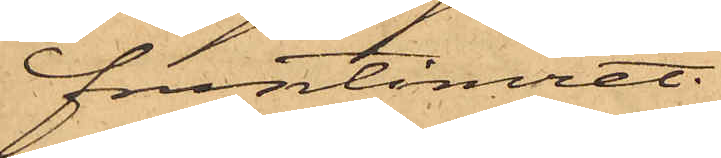fruntimret.
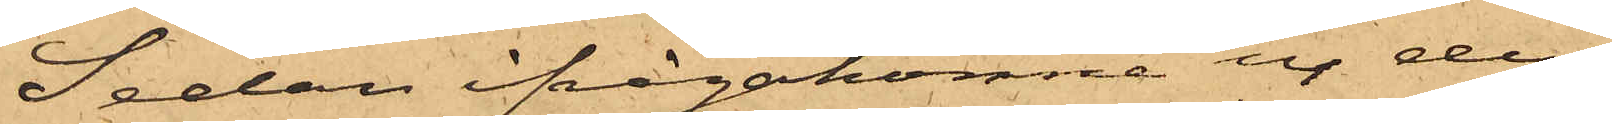Sedan ifrågakomne ur den
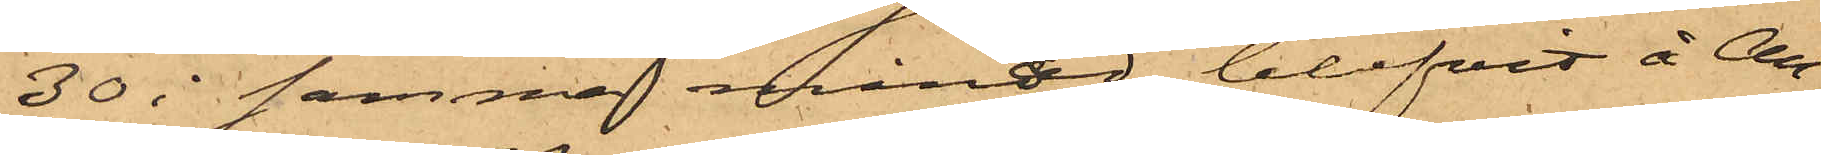30 i samma månad blifvit å All¬
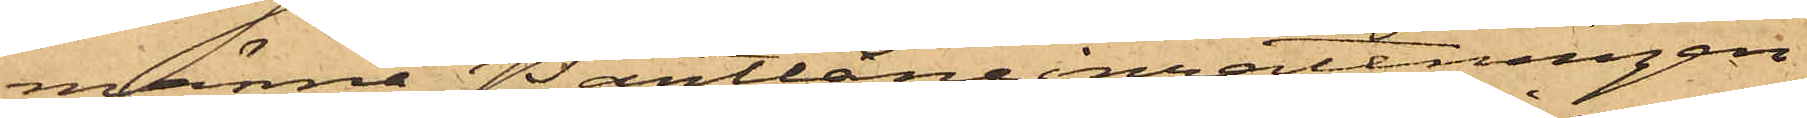männa Pantlåneinrättningen
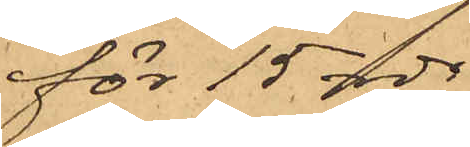för 15 rdr
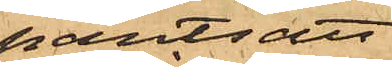pantsatt
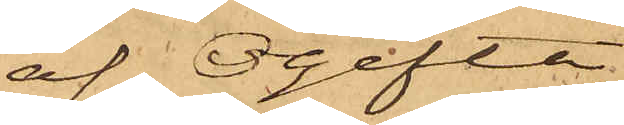af Ogifta
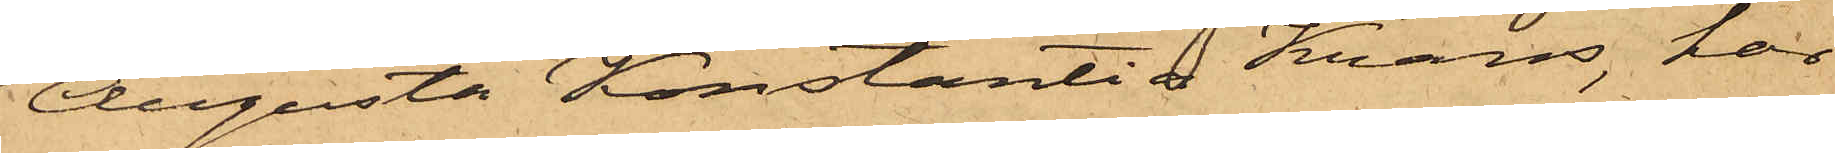Augusta Konstantia Krans, har
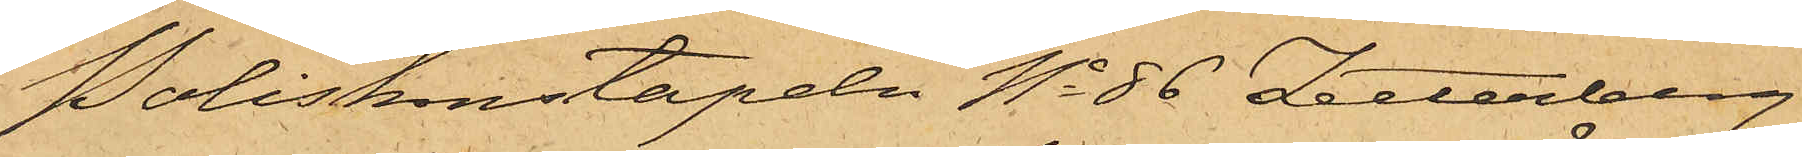Poliskonstapeln No 86 Zetterberg
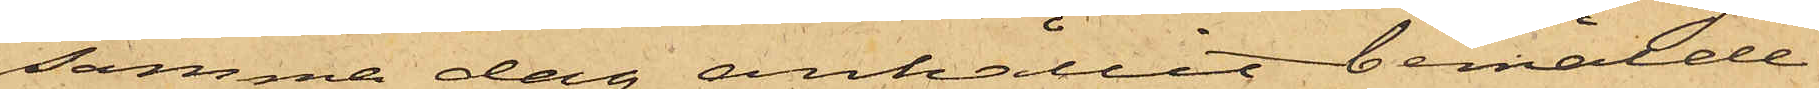samma dag anhållit bemälde
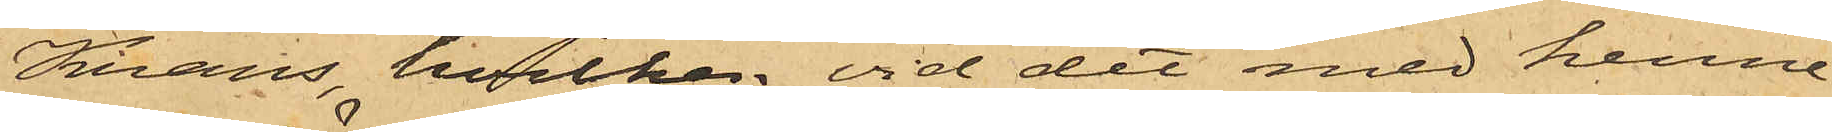Krans, hvilken vid det med henne
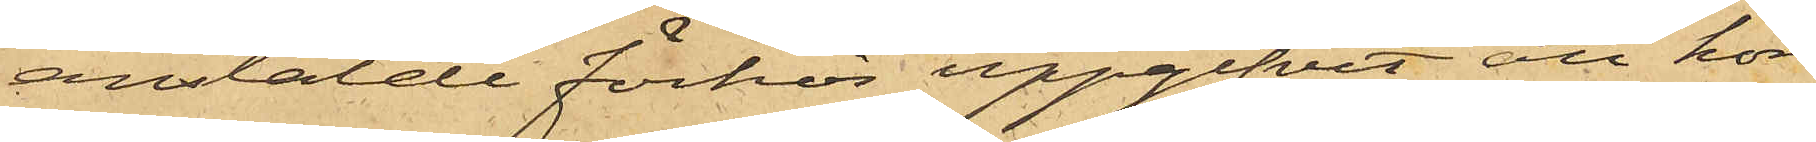anstälde förhör uppgifvit, att hon
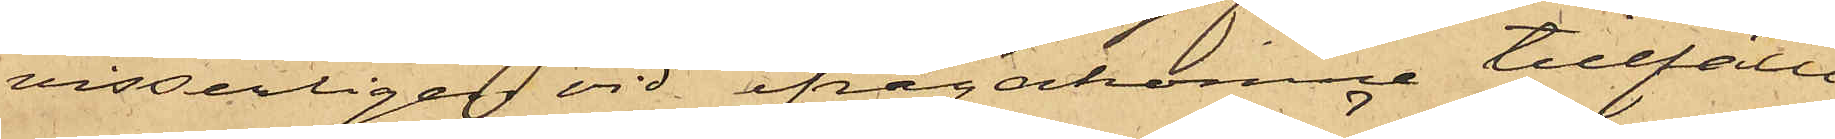visserligen vid ifrågakomne tillfälle
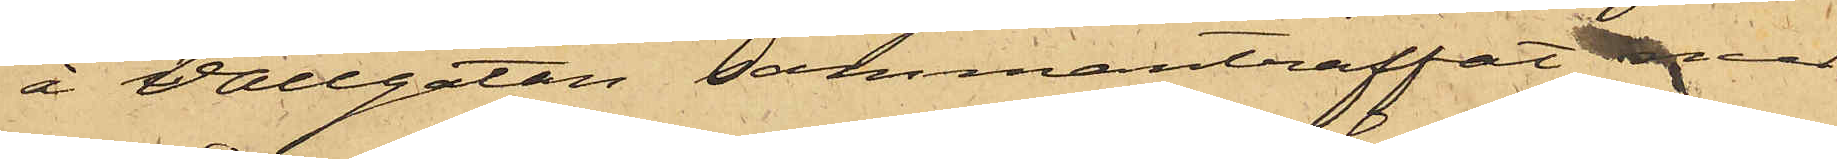å Vallgatan sammanträffat med
